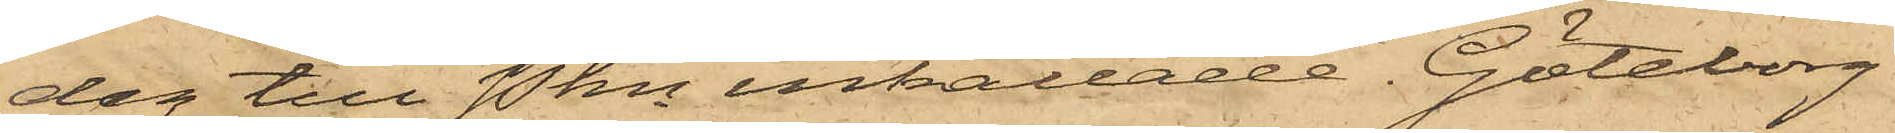dag till Pkn inkallade. Göteborg
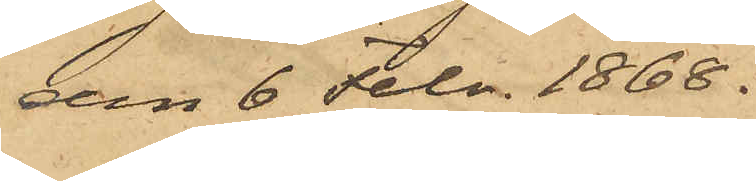den 6 Febr. 1868.
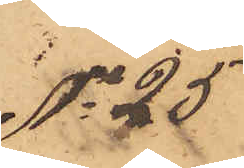No 25
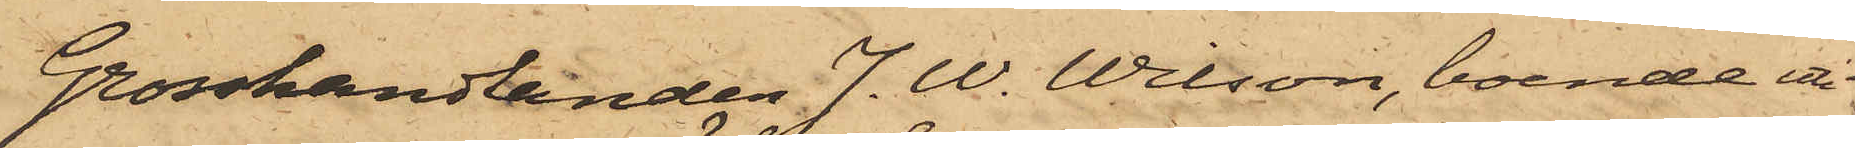Grosshandlanden J. W. Wilson, boende uti
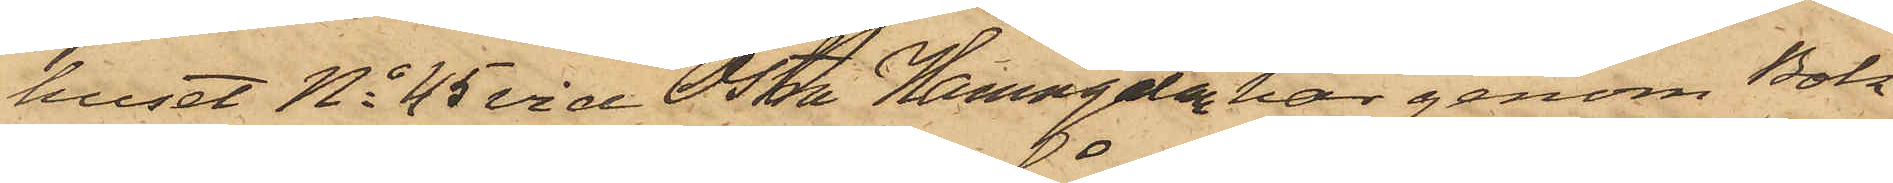huset No 45 vid Östra Hamngatan har genom Bok¬
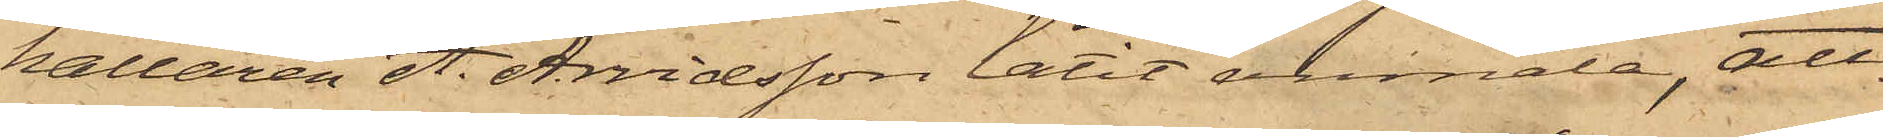hållaren A. Arvidsson låtit anmäla, att
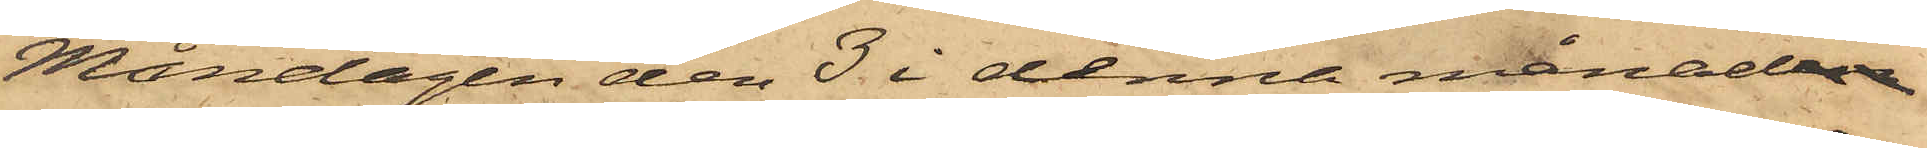Måndagen den 3 i denna månaden
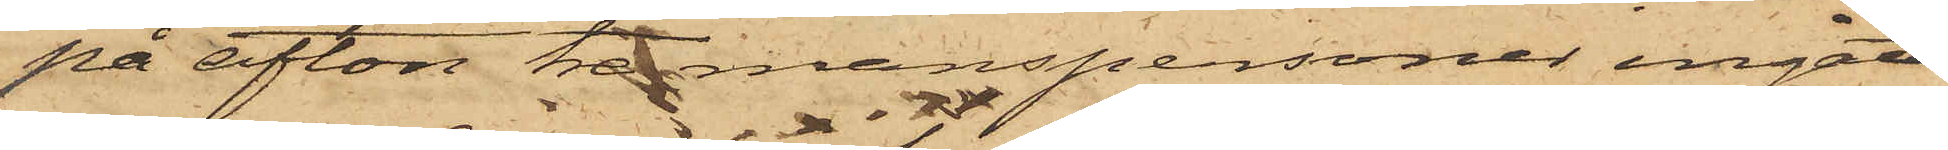på afton tre manspersoner ingått
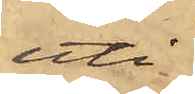uti
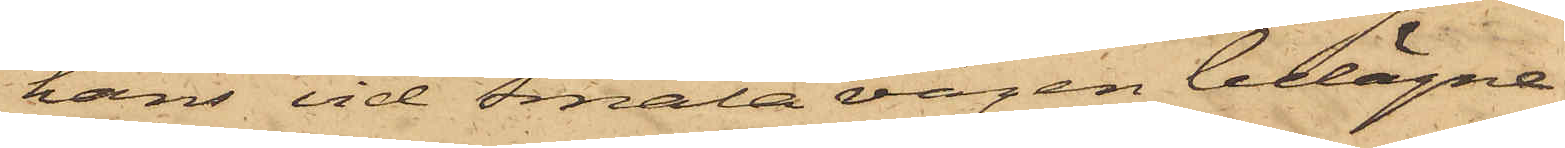hans vid Smala vägen belägne
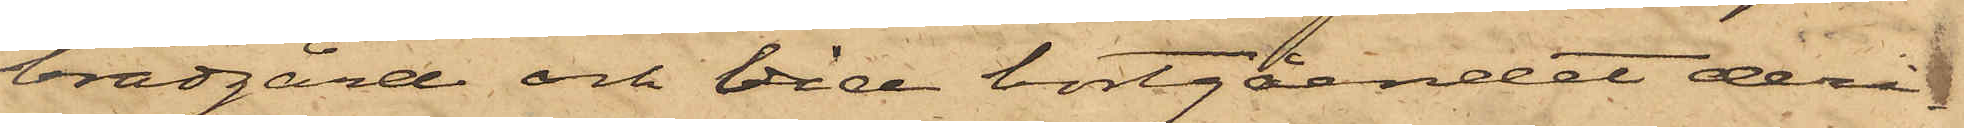brädgård och vid bortgåendet deri¬
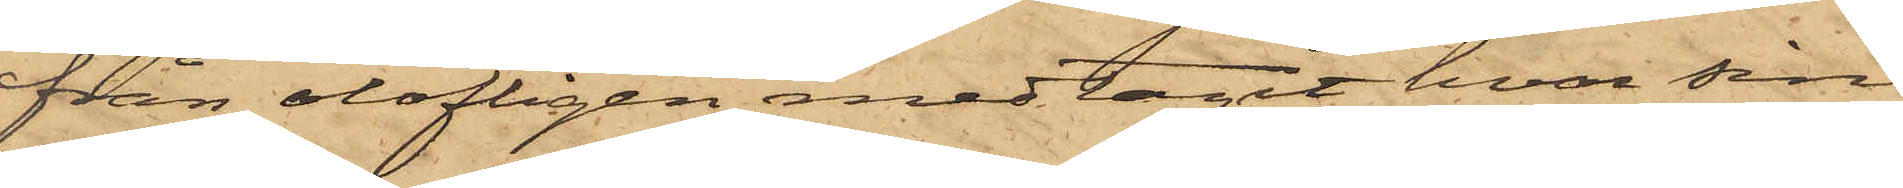från olofligen medtagit hvar sin
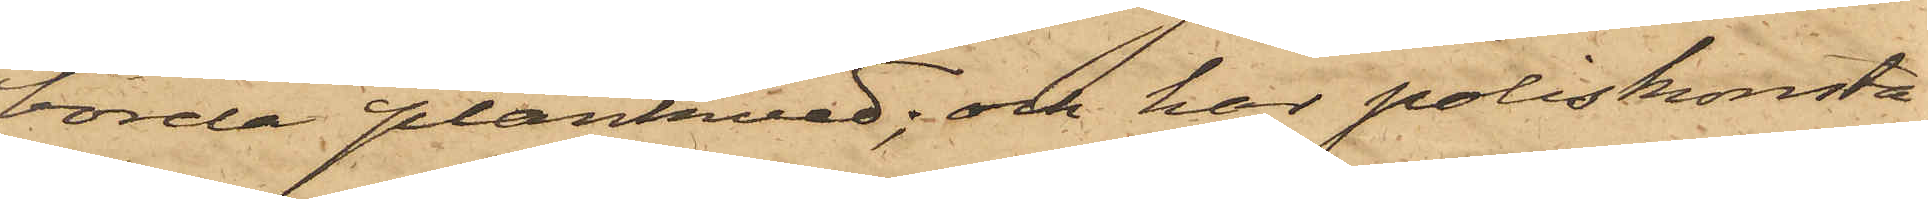börda plankved, och har poliskonsta¬
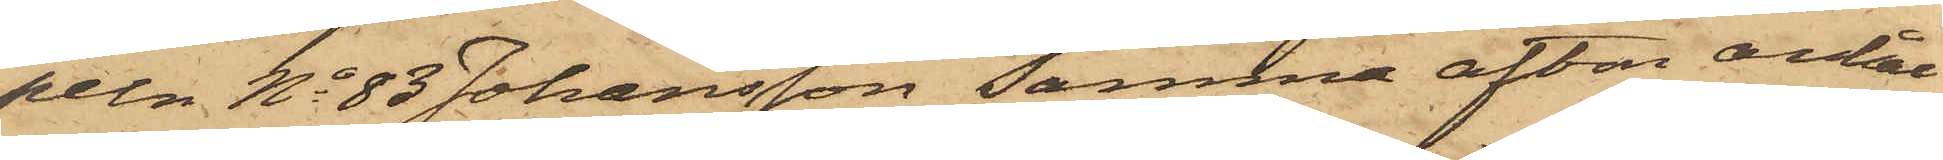peln No 83 Johansson samma afton anhål¬
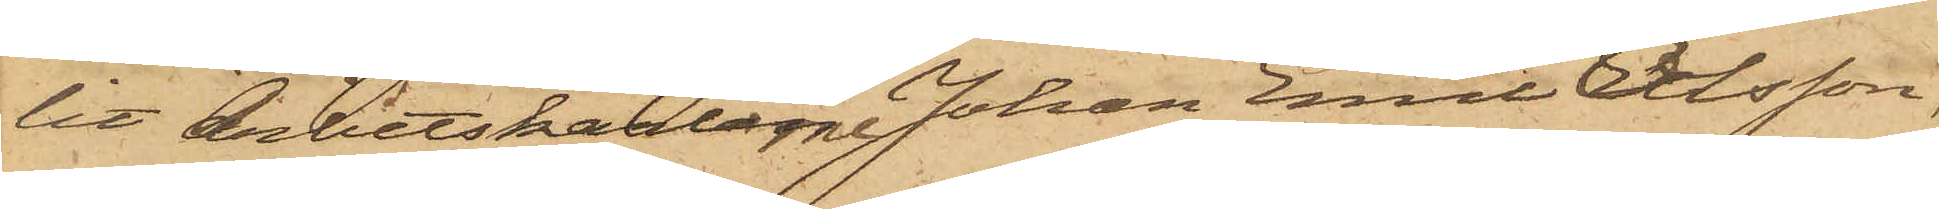lit Arbetskarlarne Johan Emil Olsson,
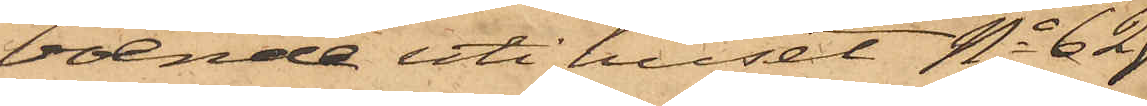boende uti huset No 62
